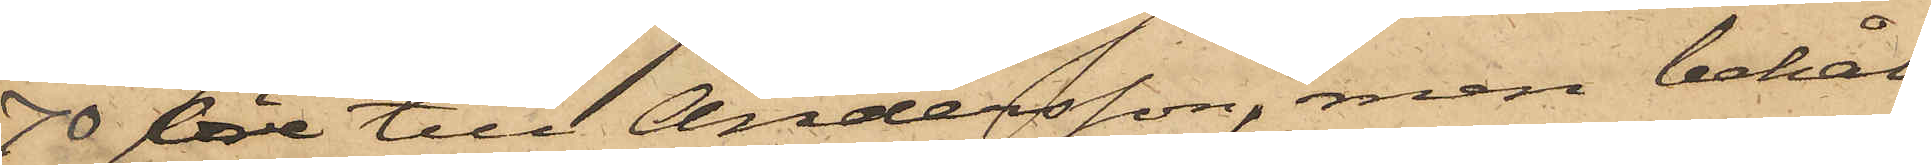70 öre till Andersson, men behål¬
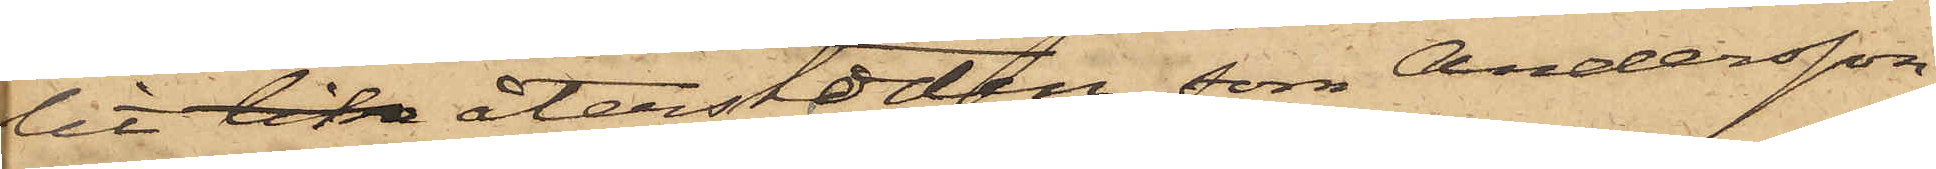lit lika återstoden, som Andersson
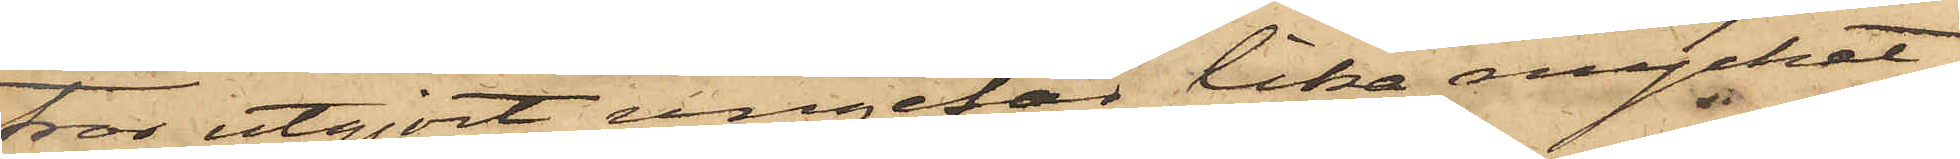tror utgjort ungefär lika mycket,
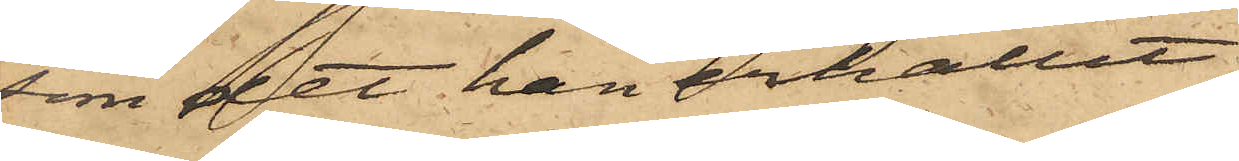som det han erhållit.
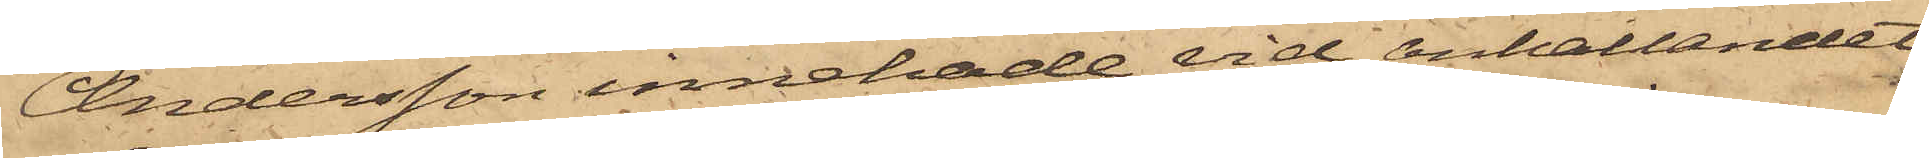Andersson innehade vid anhållandet
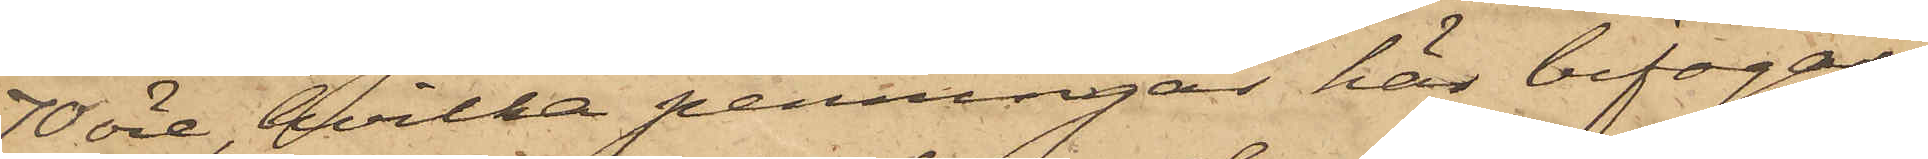70 öre, hvilka penningar har bifogas.
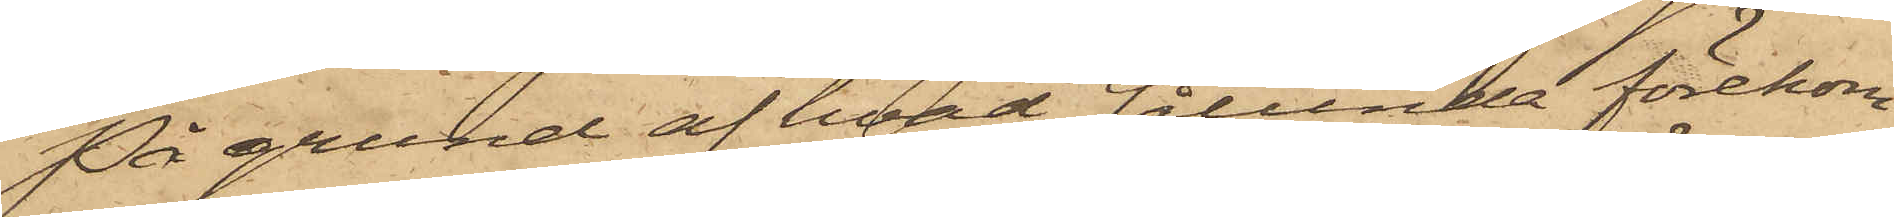På grund af hvad sålunda förekom¬
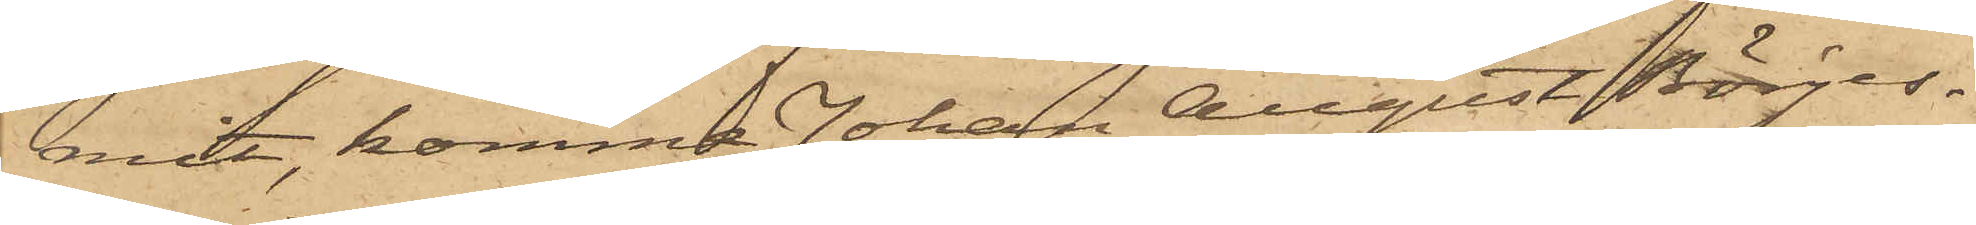mit, komma Johan August Börjes¬
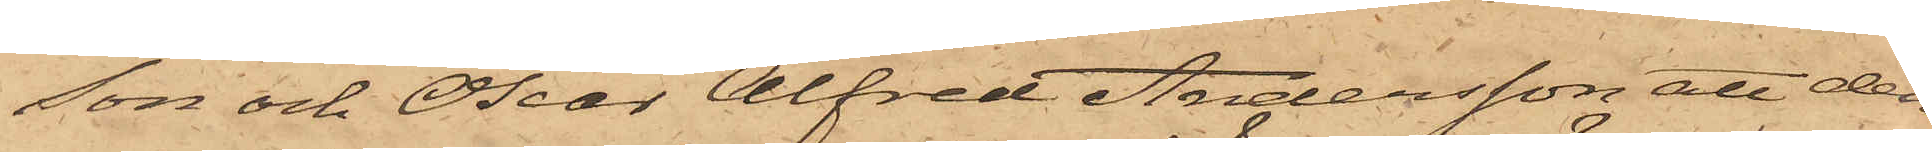son och Oscar Alfred Andersson att den¬
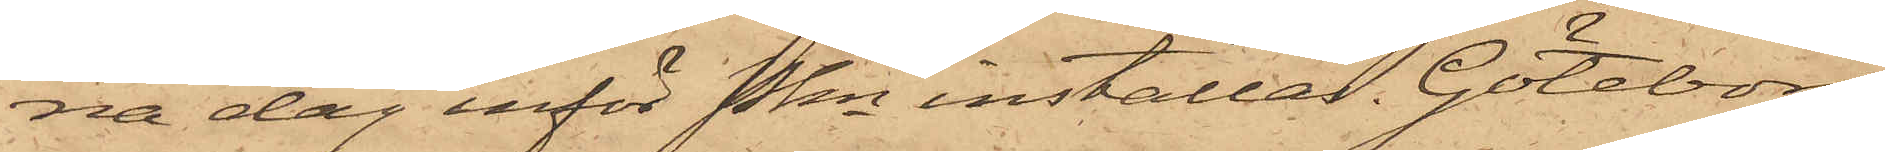na dag inför Pkn inställas. Göteborg
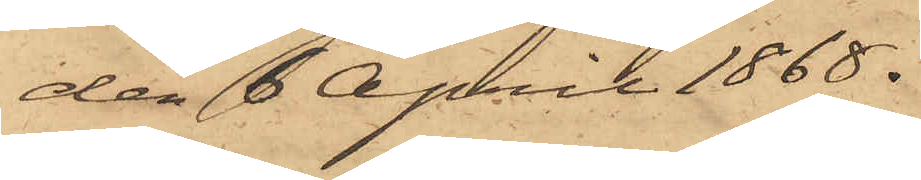den 6 April 1868.
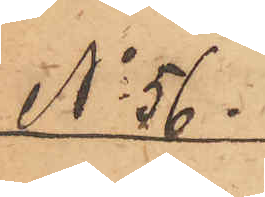No 56.
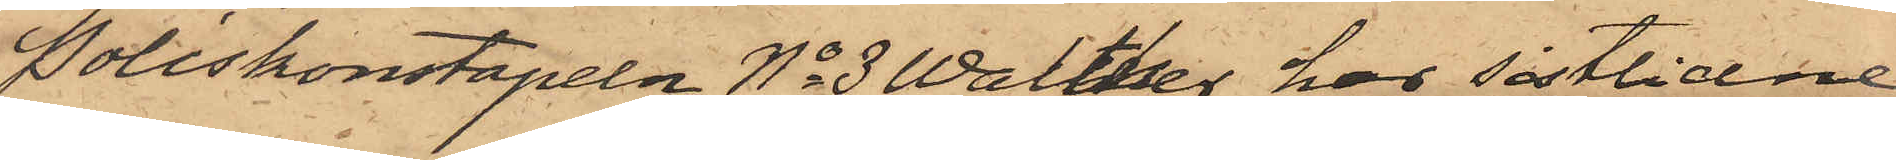Poliskonstapeln No 3 Walther har sistlidne
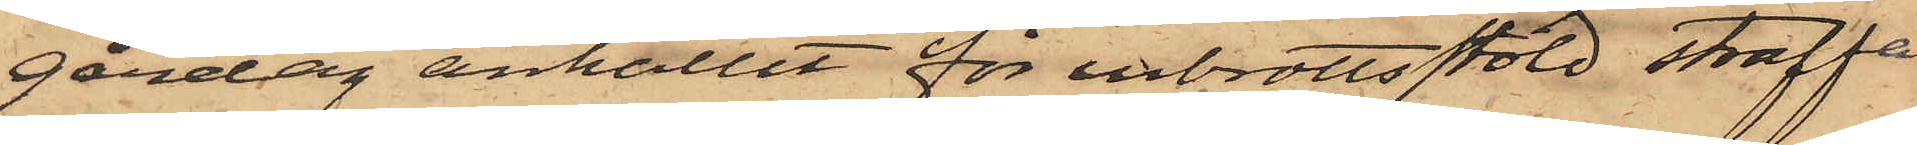gårdag anhållit för inbrottsstöld straffa¬
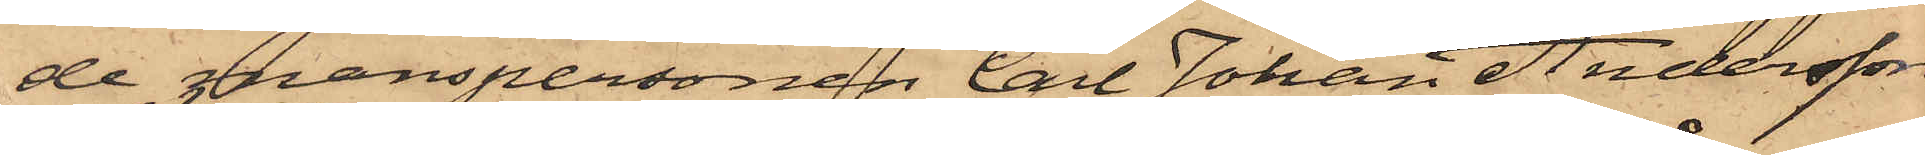de manspersonen Carl Johan Andersson,
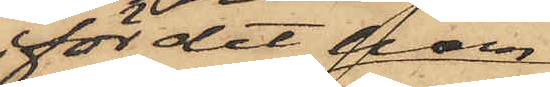för det han
